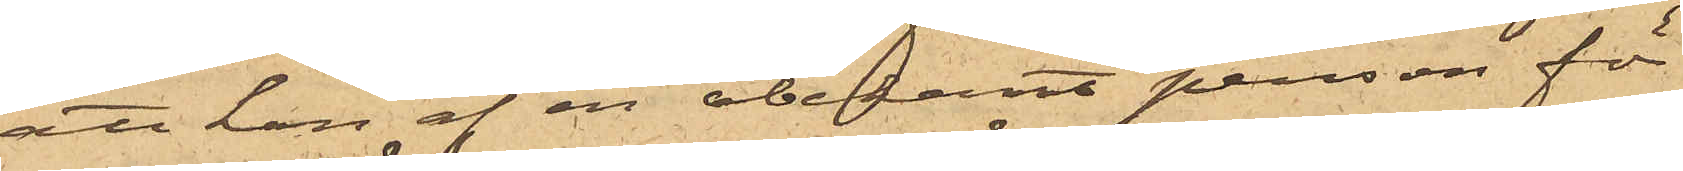att han af en obekant person för
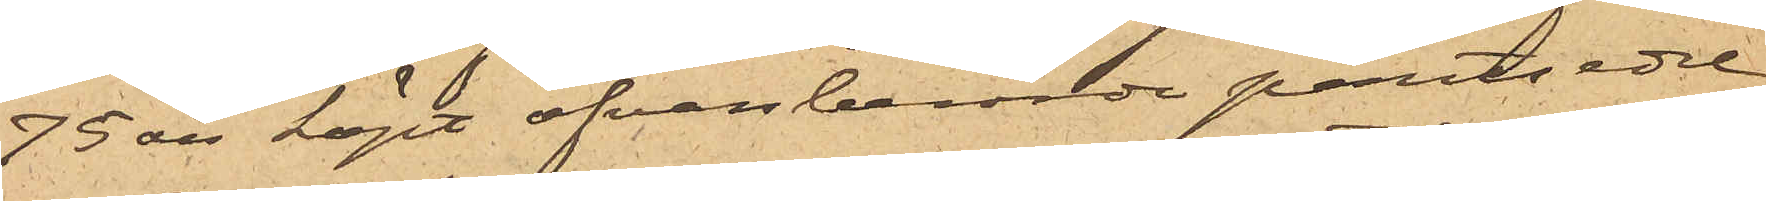73 öre köpt ofvanberörde pantsedel
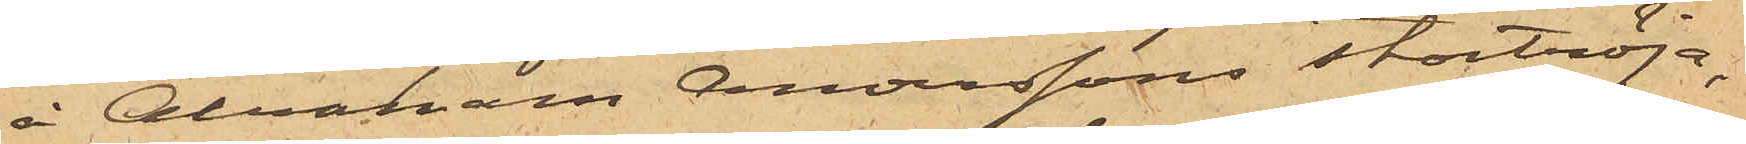å Abraham Anderssons stortröja,
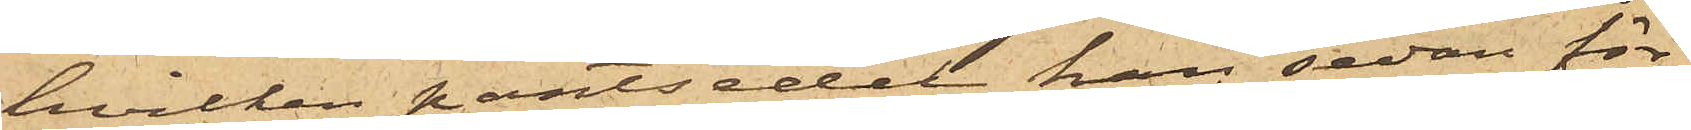hvilken pantsedel han sedan för¬
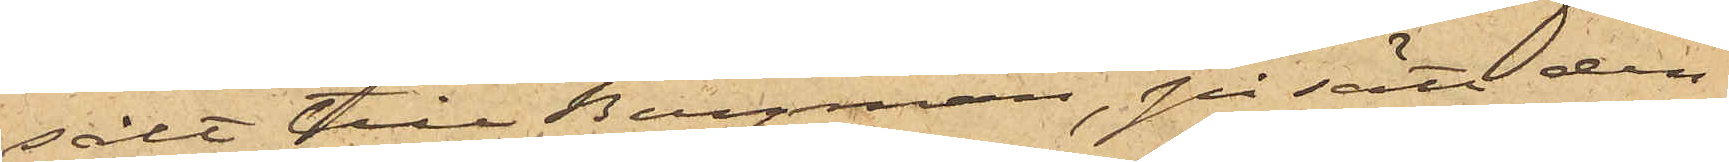sålt till Bergman, på sätt den¬
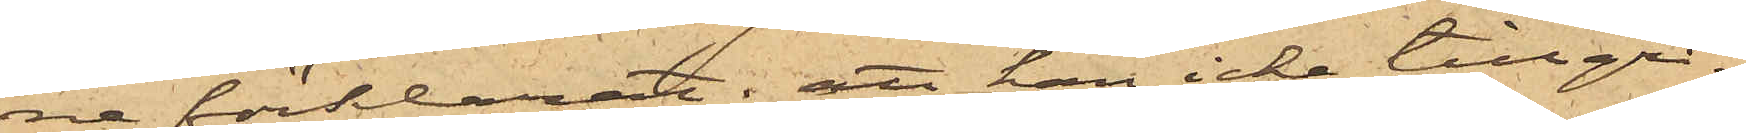ne förklarat; att han icke tillgri¬
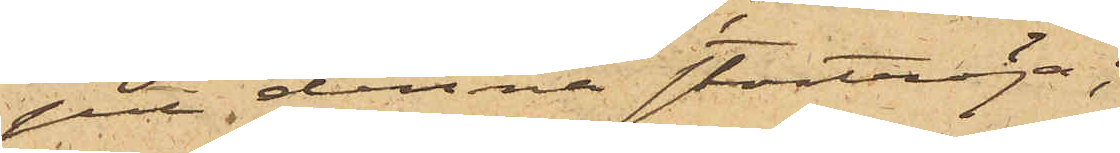pit denna stortröja;
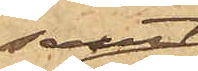samt
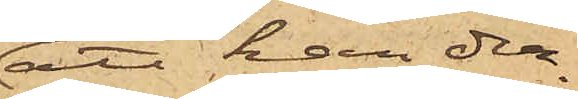att han der¬
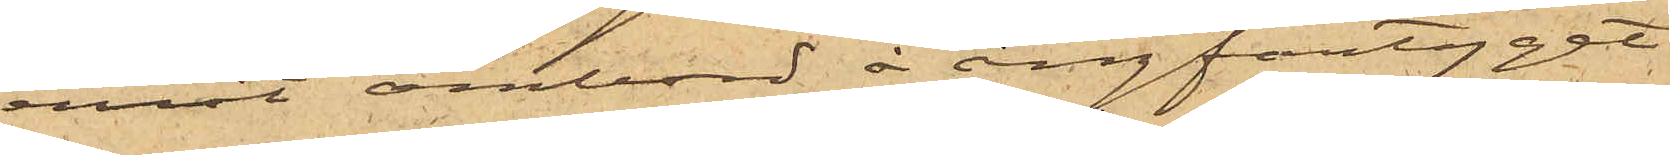emot ombord å ångfartyget
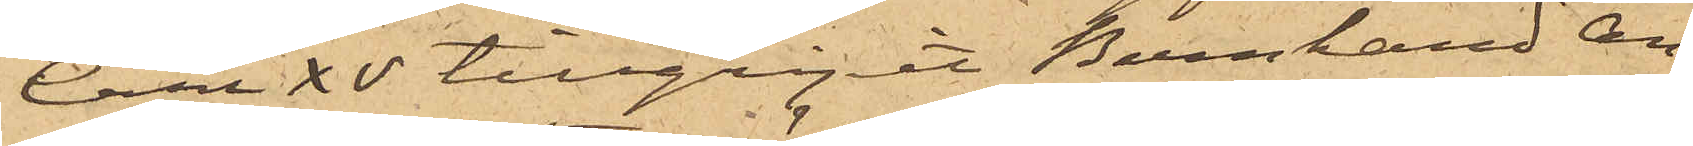Carl XV tillgripit Bernhard An¬
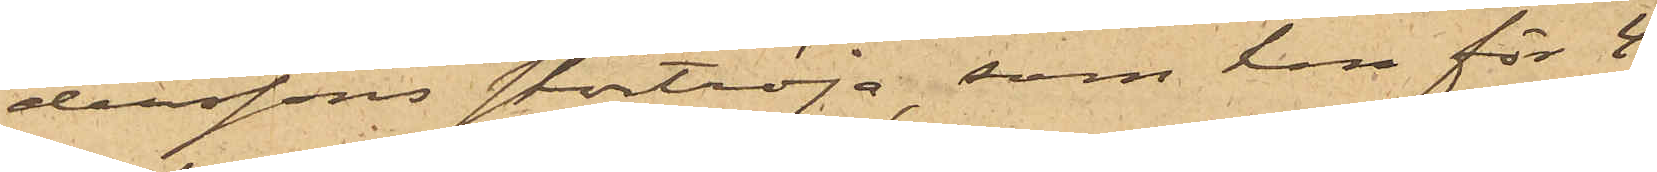derssons stortröja, som han för 4
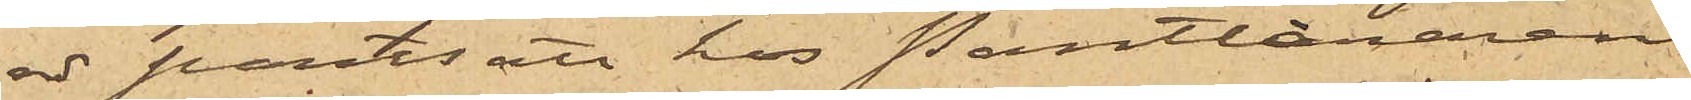rdr pantsatt hos Pantlånaren
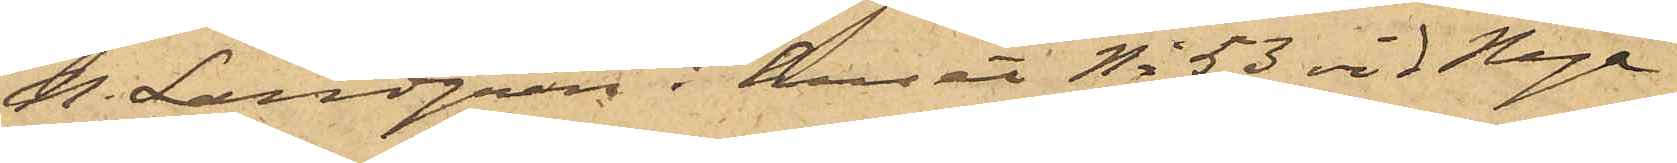N. Landgren i huset No 53 vid Nya
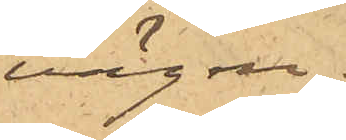vägen.
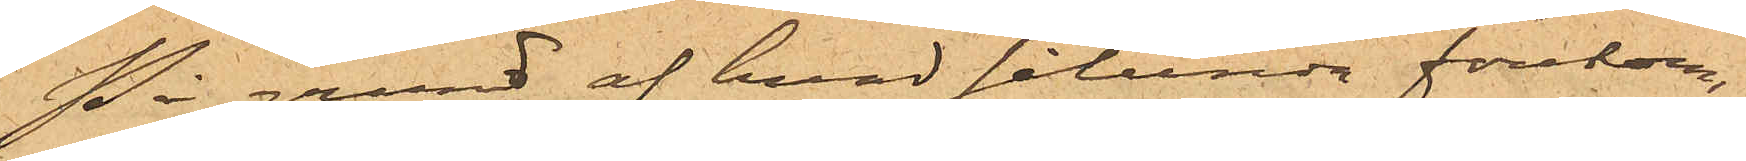På grund af hvad sålunda förekom¬
